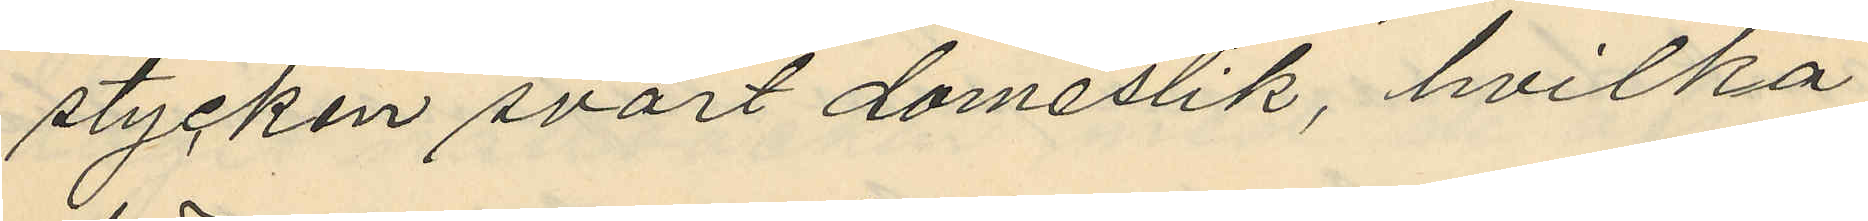stycken svart domestik, hvilka
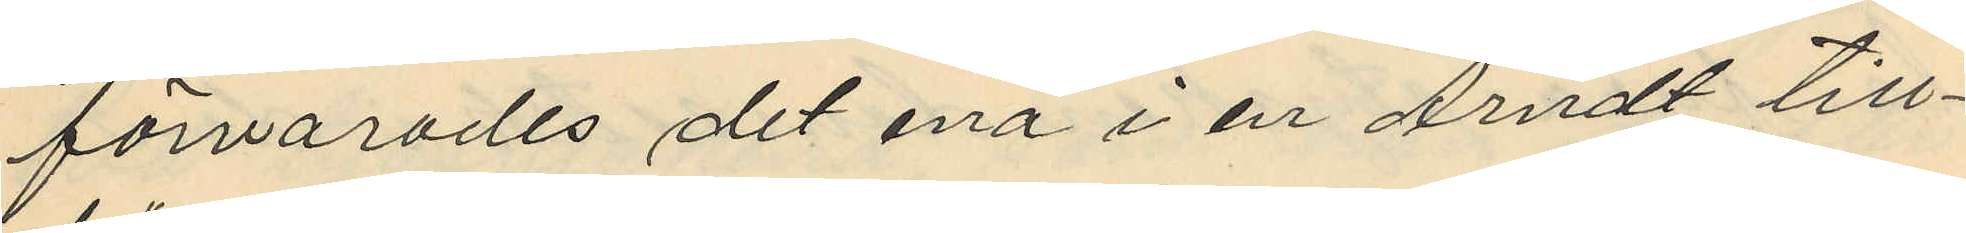förvarades det ena i en Arndt till¬
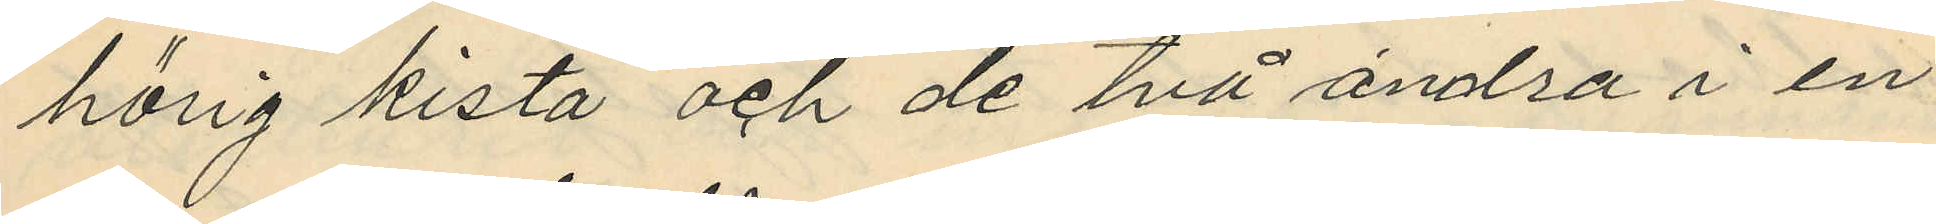hörig kista och de två andra i en
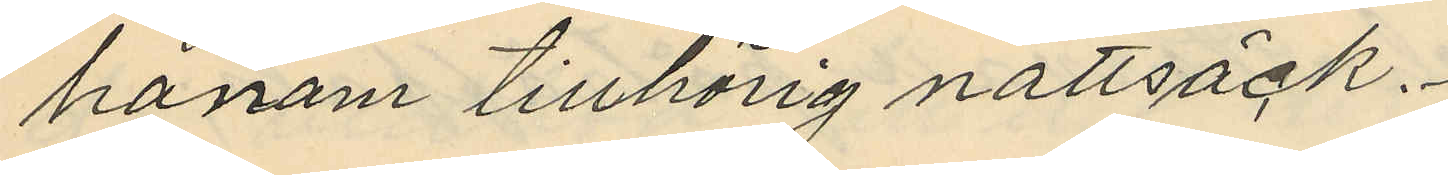honom tillhörig nattsäck.
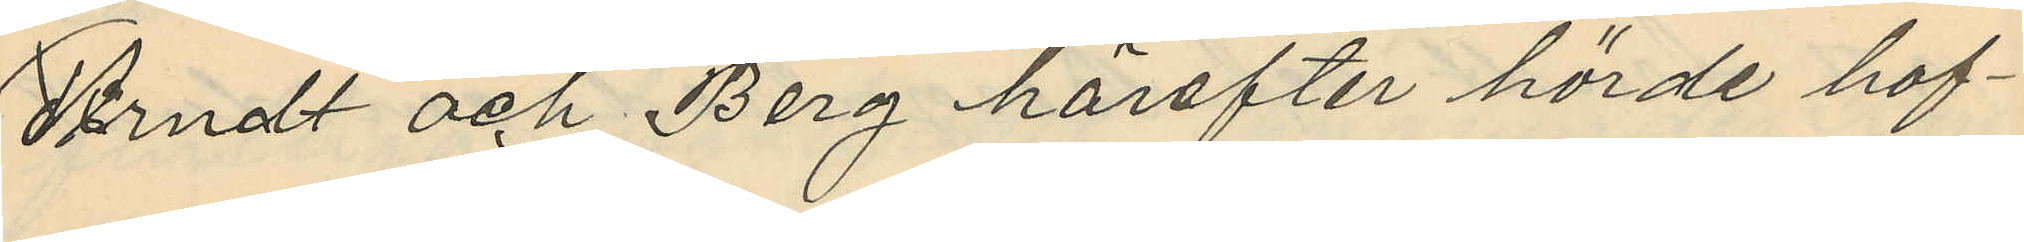Arndt och Berg härefter hörde haf¬
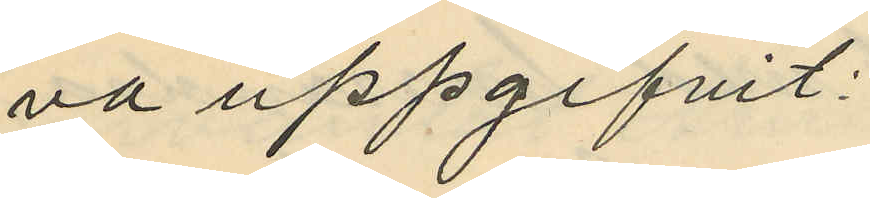va uppgifvit:
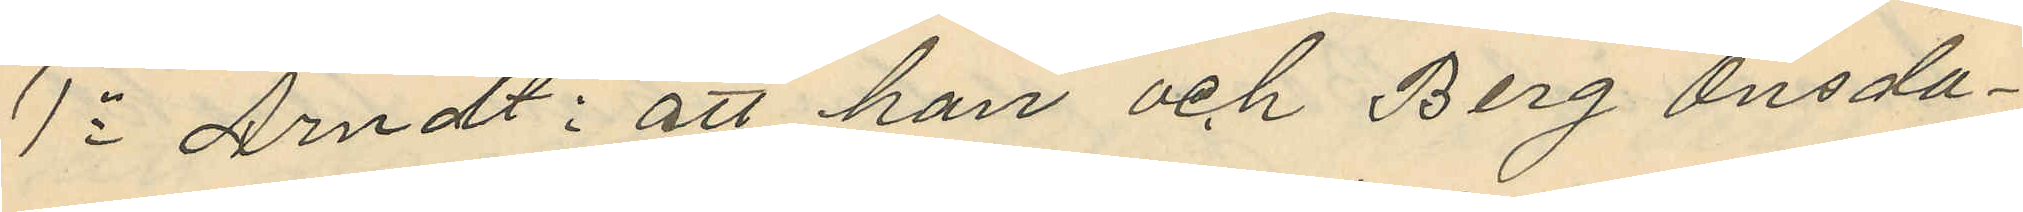1o Arndt: att han och Berg Onsda¬
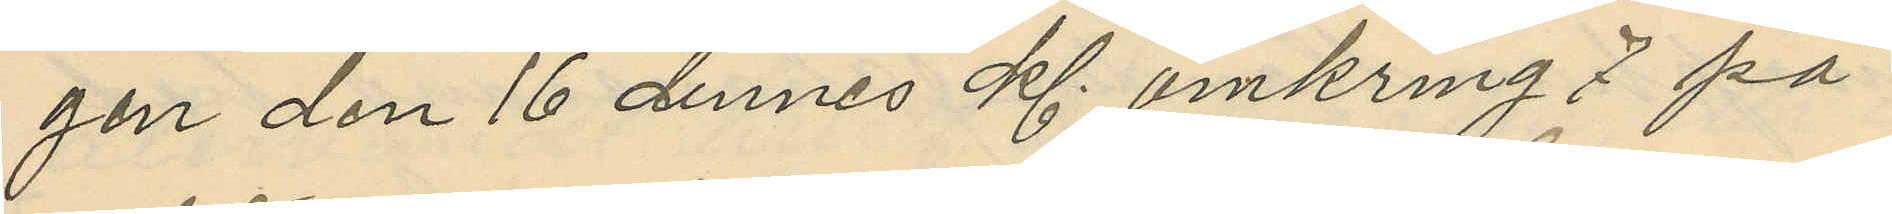gen den 16 dennes kl. omkring 7 på
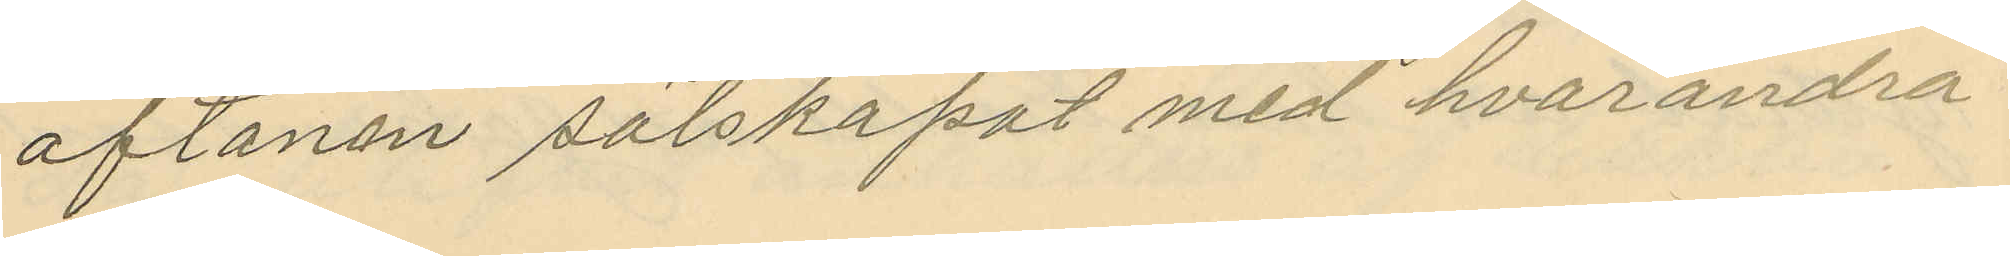aftonen sälskapat med hvarandra
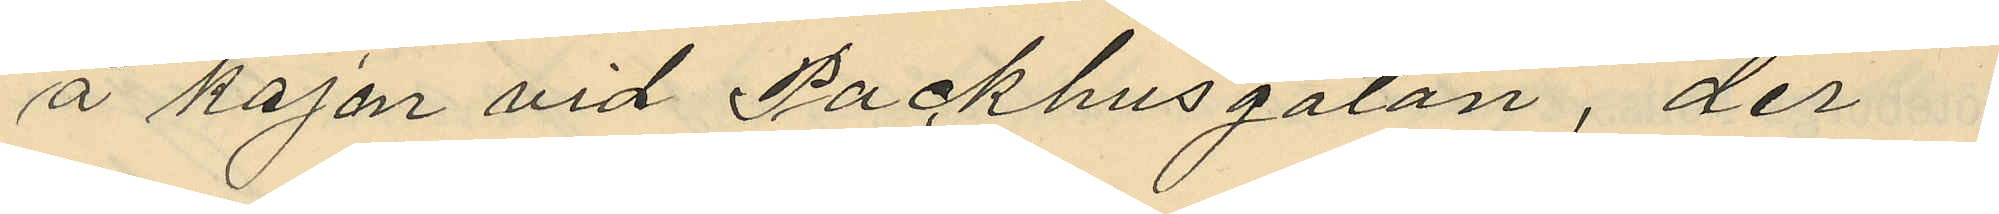å kajen vid Packhusgatan, der
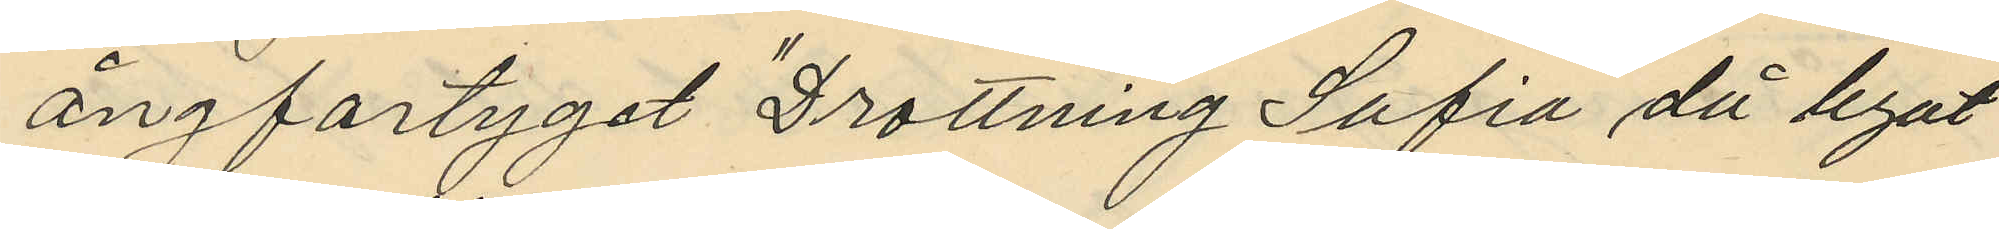ångfartyget "Drottning Sofia" då legat
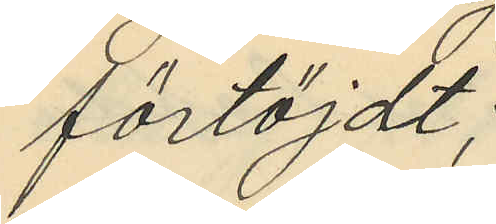förtöjdt;
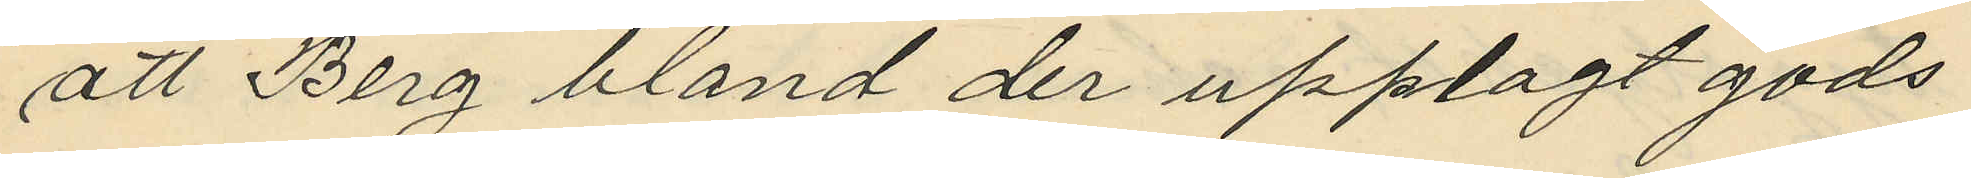att Berg bland der upplagt gods
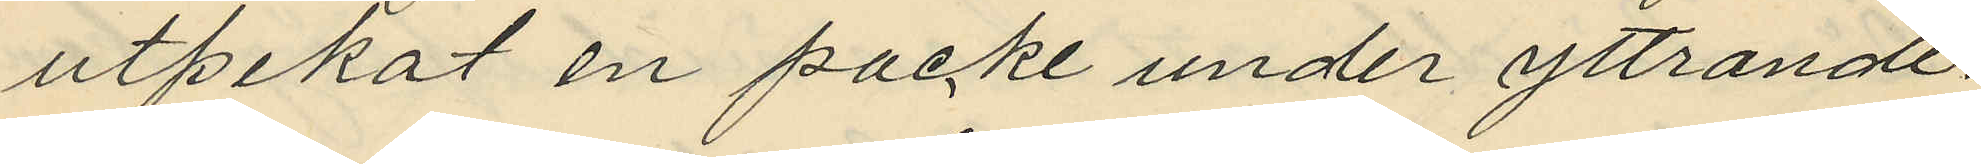utpekat en packe under yttrande:
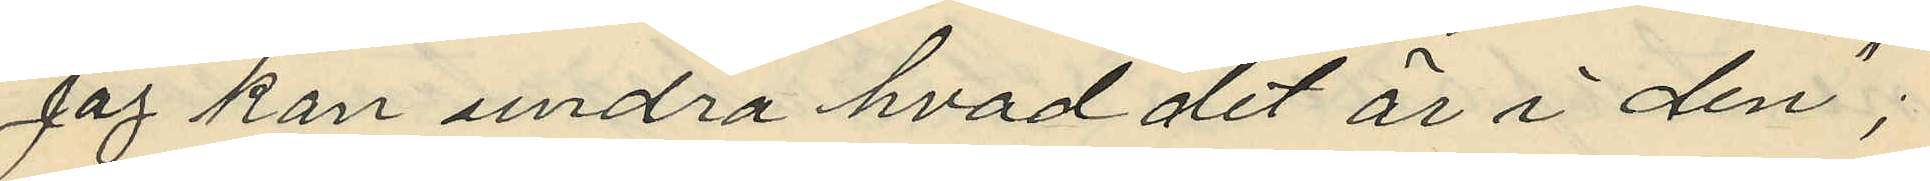"jag kan undra hvad det är i den";
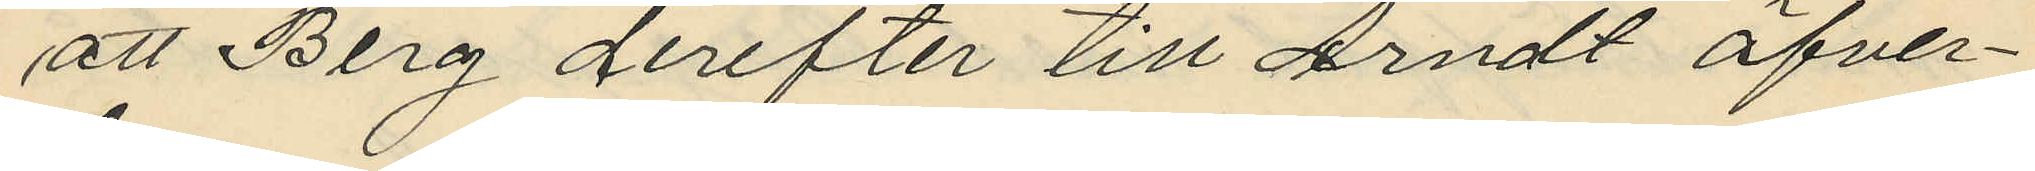att Berg derefter till Arndt öfver¬
